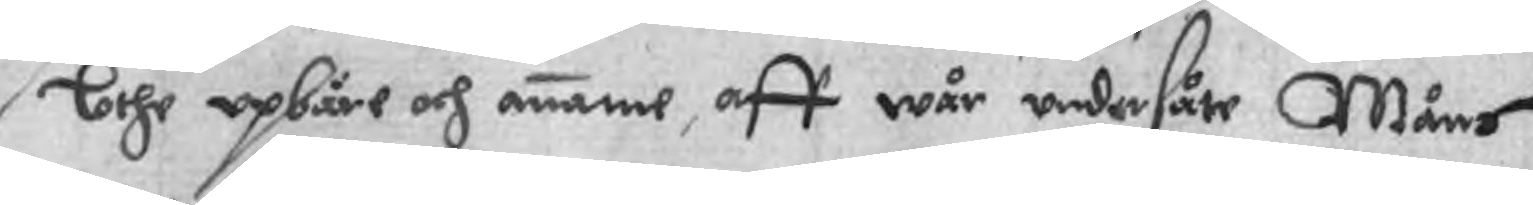Lothe opbäre och anname, aff wår undersåte Måns
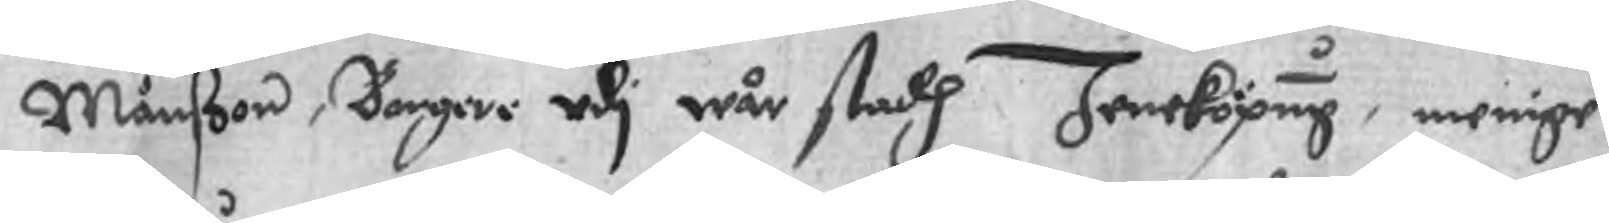Månßon, Borgere udi wår stadh Jeneköping, menige
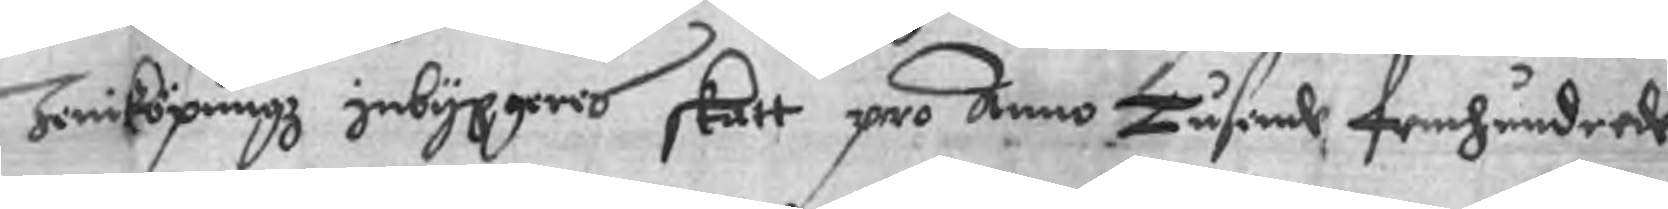Jiniköpningz inbyggeres skatt pro Anno Tusende femhundrede
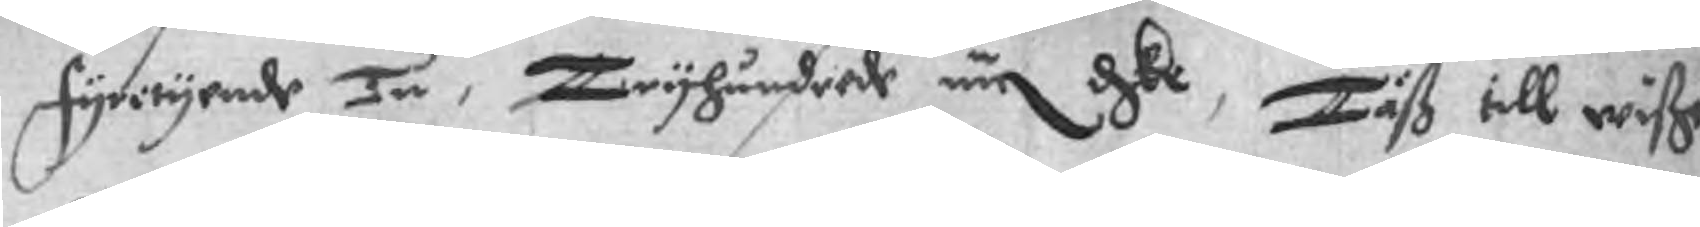fyrityende Tu, Tryhundrede äe dske, Täß till wiße
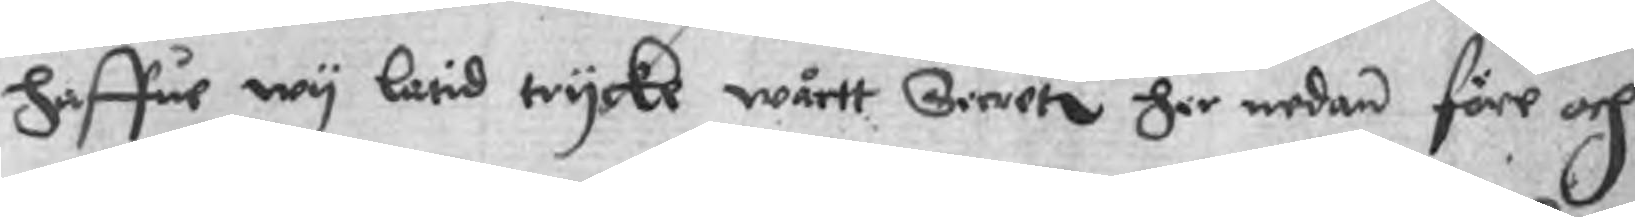haffue wy latid tryckt wårtt Sinete her nedan före och
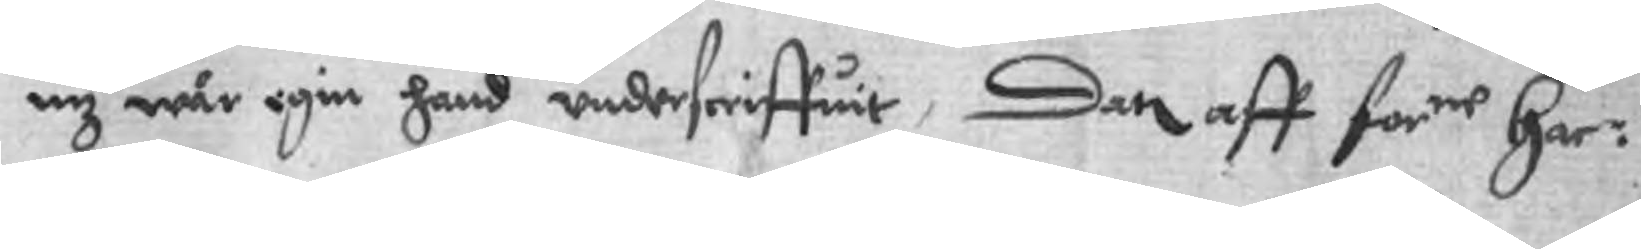nz wår egin hand underscriffuit, Den aff forne Har:
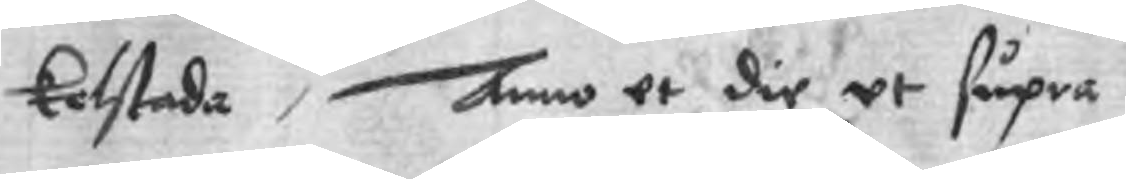Kolstada, Anno ut die ut supra
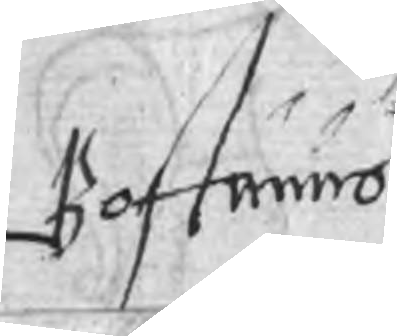Bottwiid
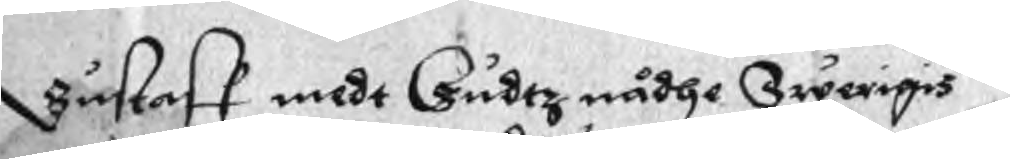Gustaff mede Gudtz nådhe Swerigis
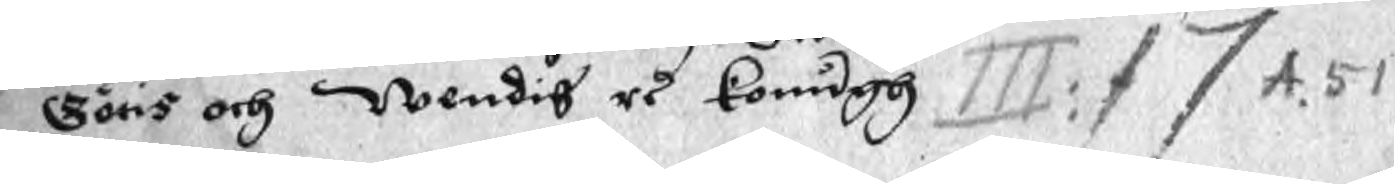Götis och Wendis rs Konugh III: f 7 A. 51
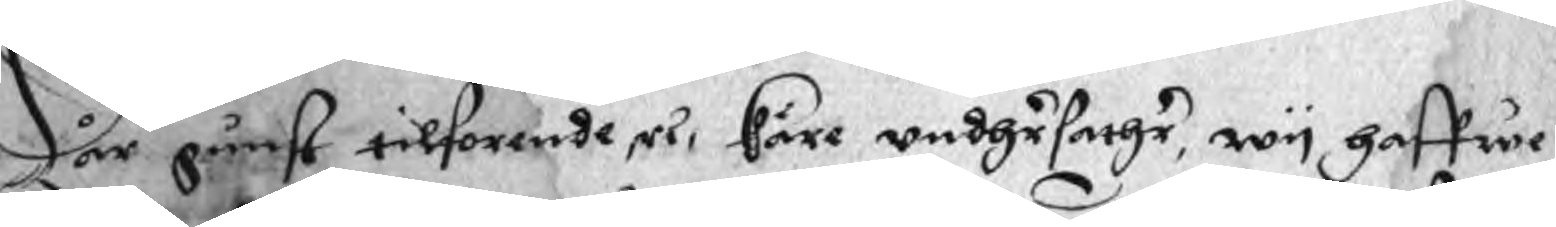Wår gunst tilforende rs käre undhrsotthr, wy haffwe
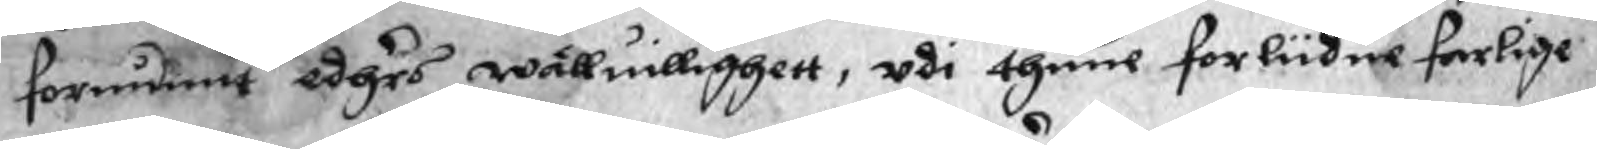förundnat edhrs wälluillighett, udi thene förliidne farlige
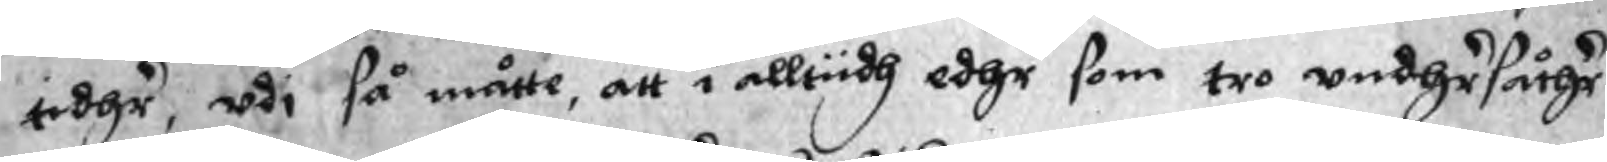tidhr, udi så måtte, att i alltiidh edhr som tro undhrsåthr
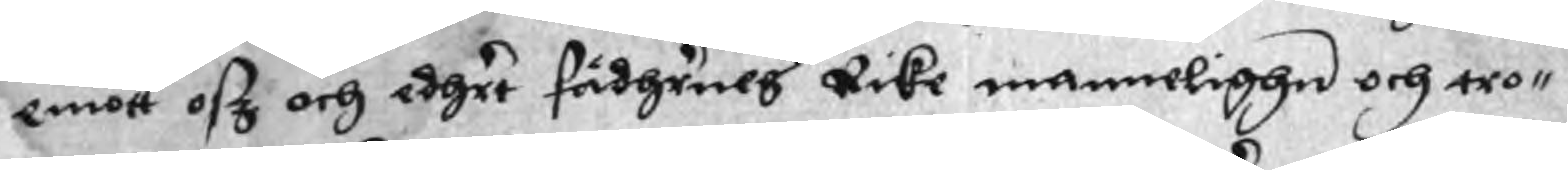emott osz och edhrt fädhrnes Rike mannelighe och tro¬
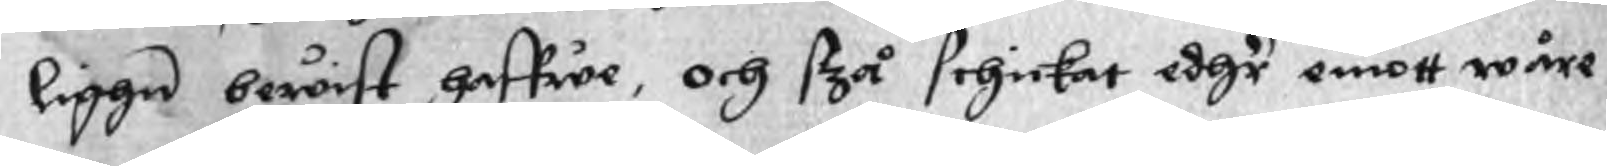liggn bewist haffwe, och stzå sihickat edhr emott wåre
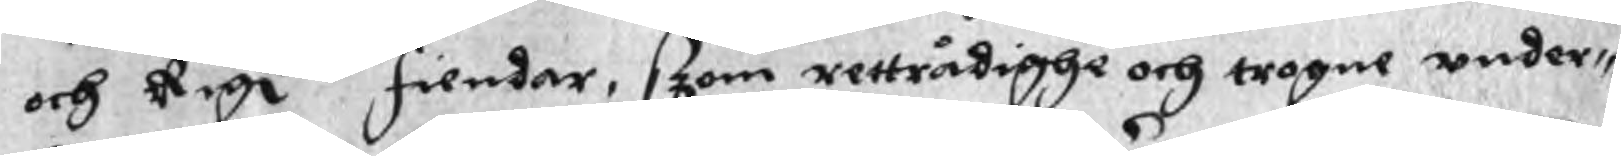och Rigns fiender, szom rettrådighe och togne under¬
